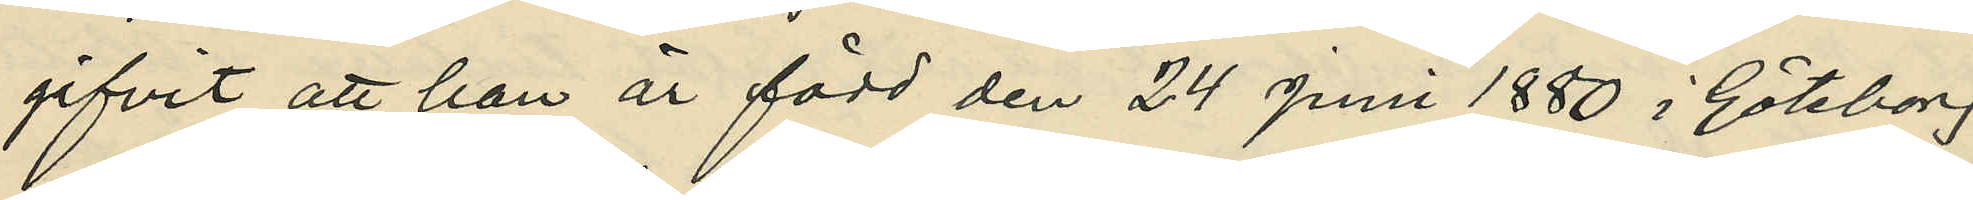gifvit att han är född den 24 juni 1880 i Göteborg
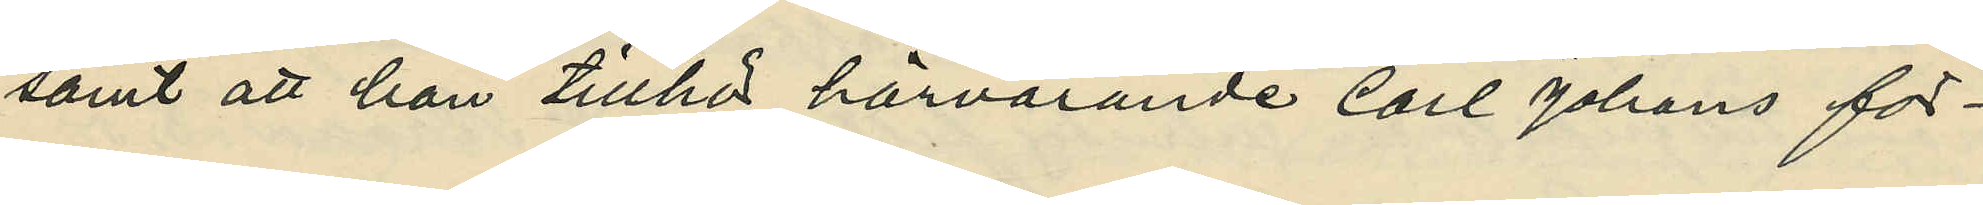samt att han tillhör härvarande Carl Johans för¬
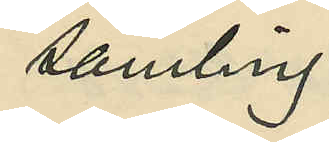samling.
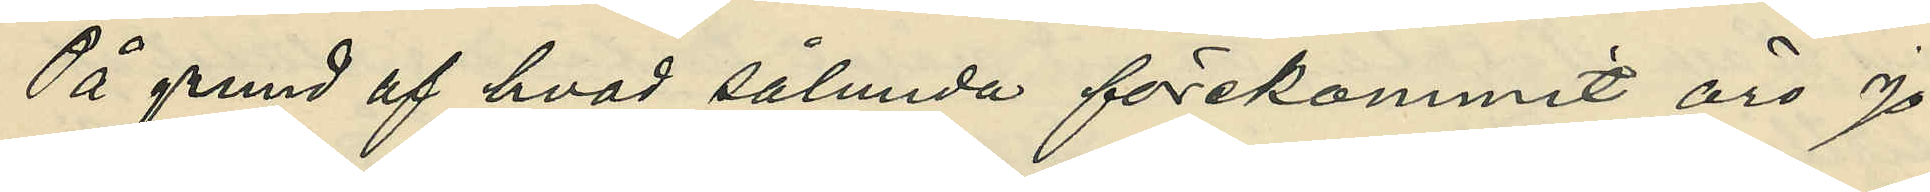På grund af hvad sålunda förekommit äro Jo¬
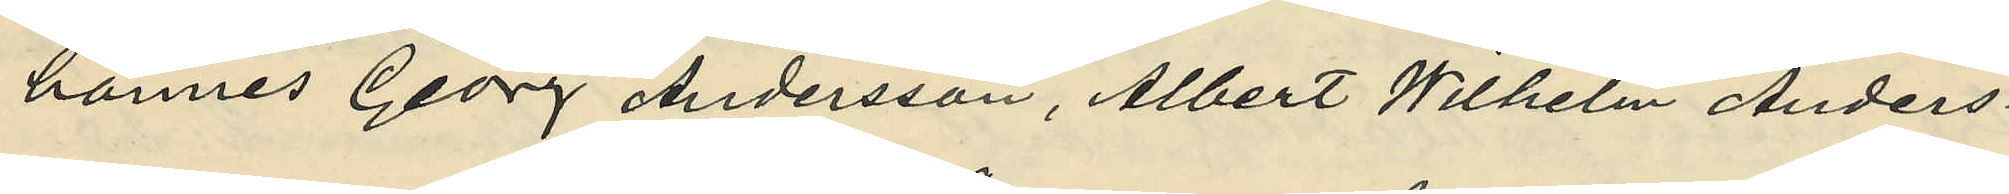hannes Georg Andersson, Albert Wilhelm Anders¬
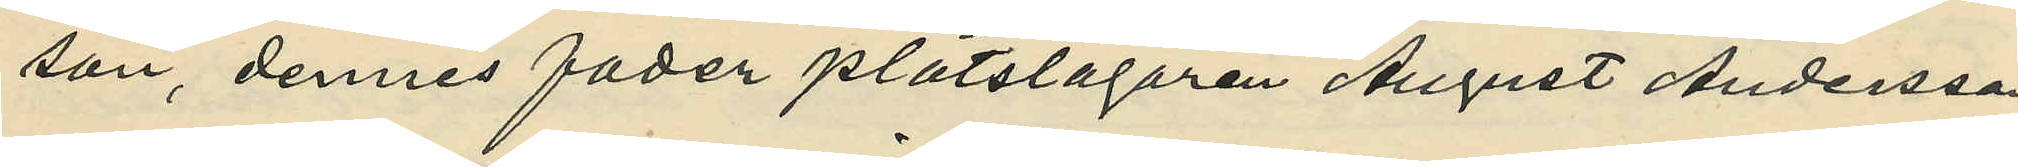son, dennes fader plåtslagaren August Andersson
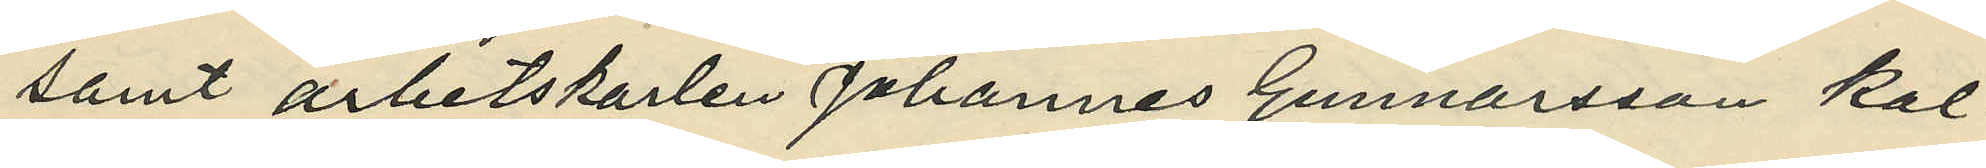samt arbetskarlen Johannes Gunnarsson kal¬
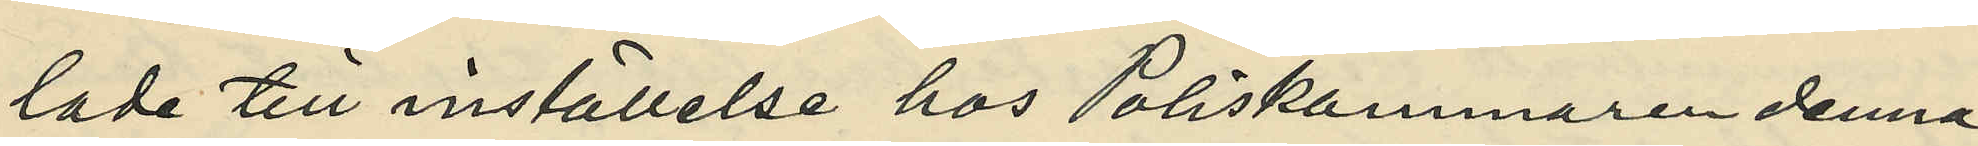lade till inställelse hos Poliskammaren denna
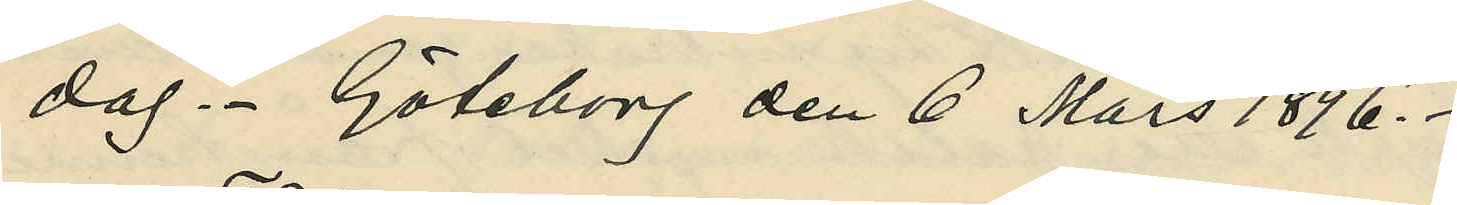dag. Göteborg den 6 mars 1896.
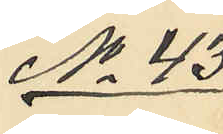No 43.
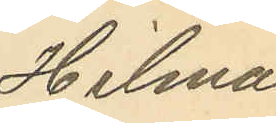Hilma
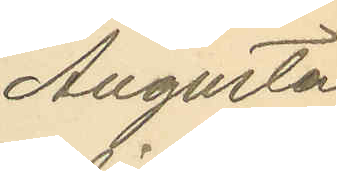Augusta
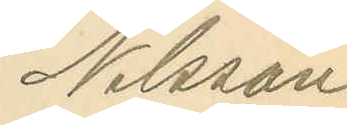Nilsson.
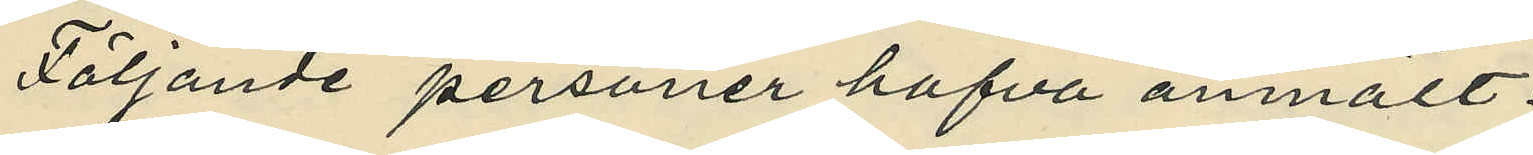Följande personer hafva anmält:
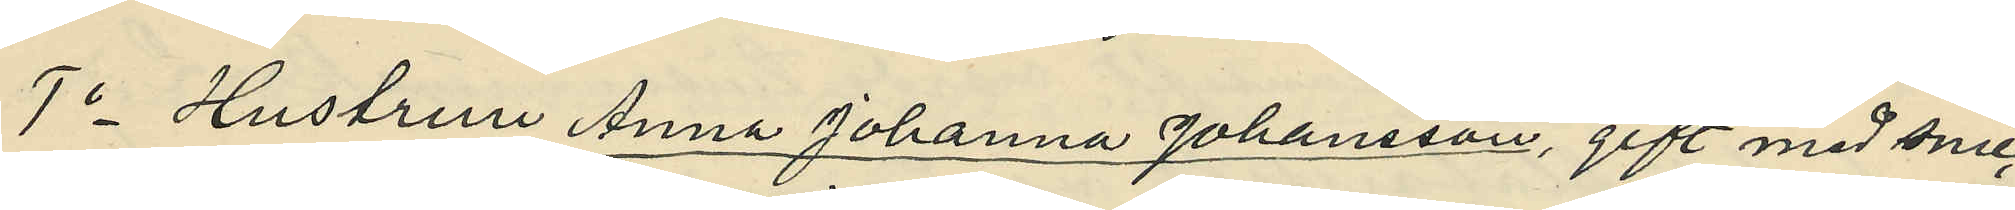1o Hustrun Anna Johanna Johansson, gift med snic¬
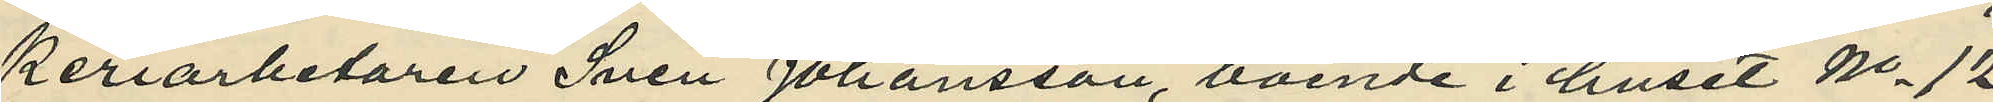keriarbetaren Sven Johansson, boende i huset No 12
